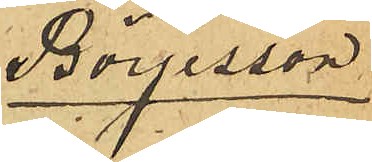Börjesson.
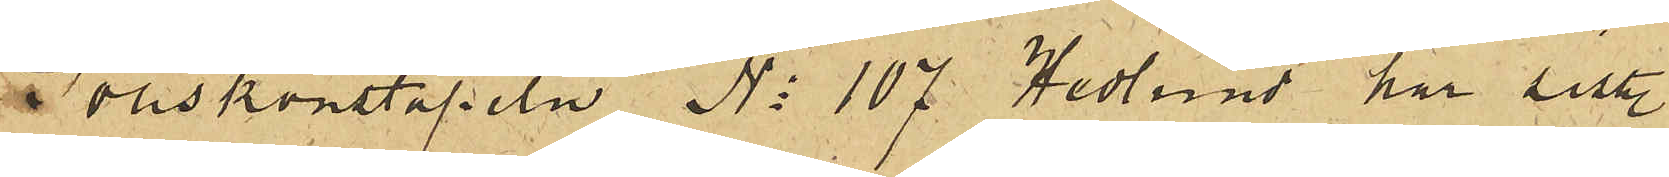Poliskonstapeln No 107 Hedlund har sist.
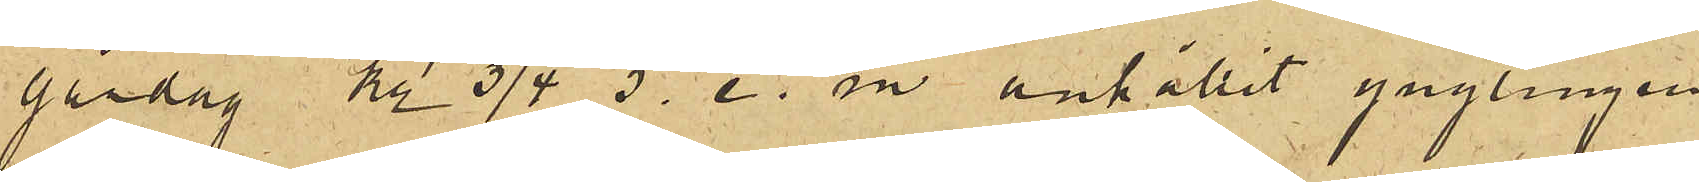gårdag kl 3/4 5. e. m anhållit ynglingen
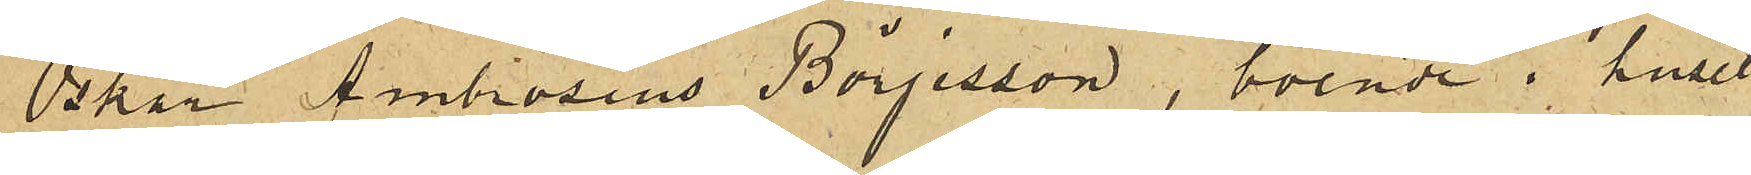Oskar Ambrosius Börjesson, boende i huset
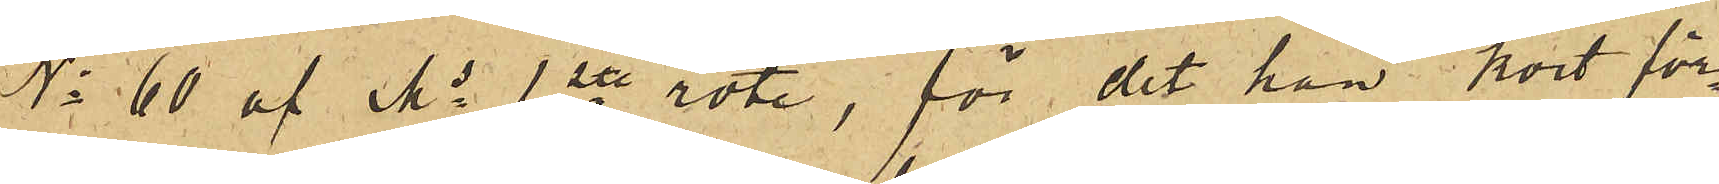No 60 af Ms 1ste rote, för det han kort för¬
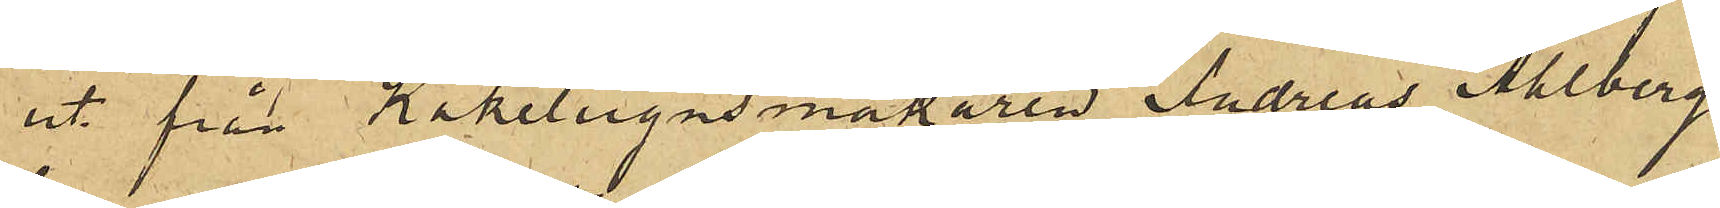ut från Kakelugnsmakaren Andreas Ahlberg
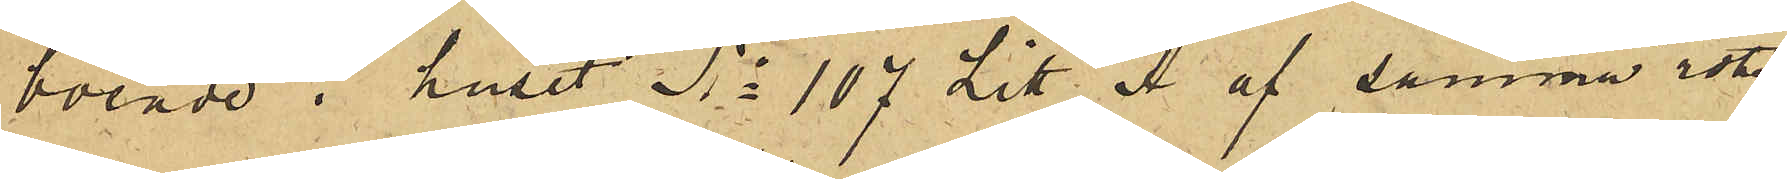boende i huset No 107 Litt. Å af samma rote,
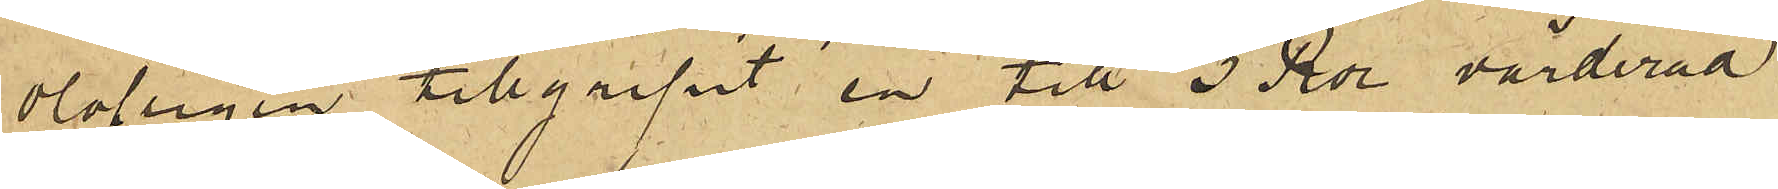olofligen tillgripit en till 3 Rdr värderad
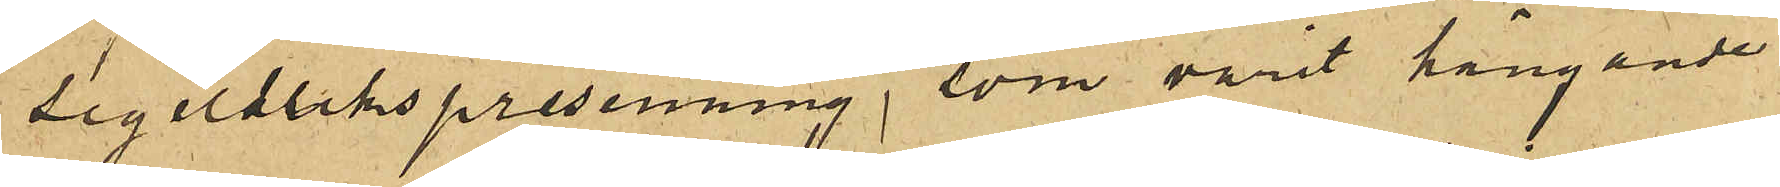segeldukspresenning, som varit hängande
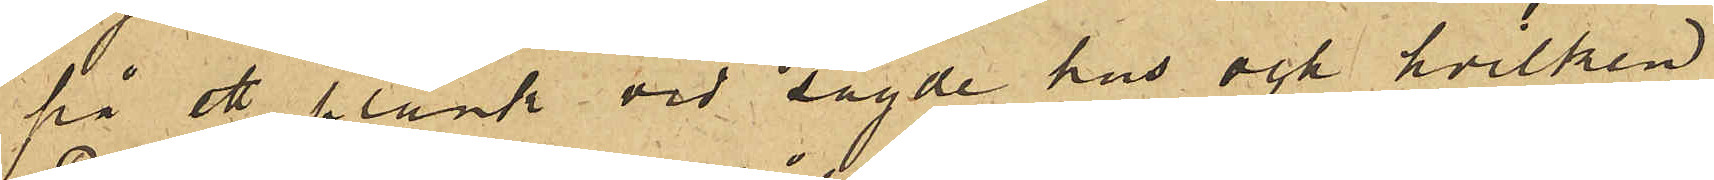på ett plank vid sagde hus och hvilken
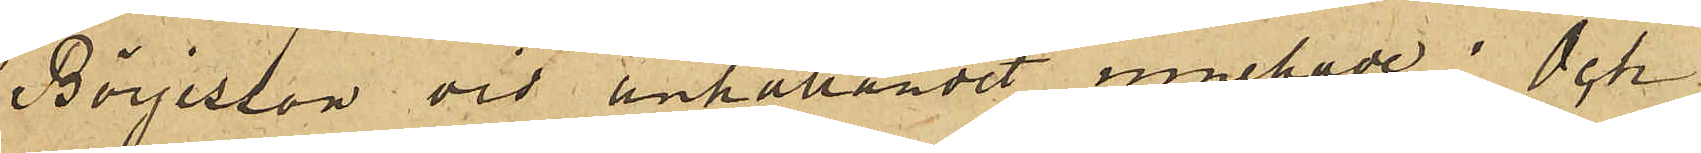Börjesson vid anhållandet innehade; och
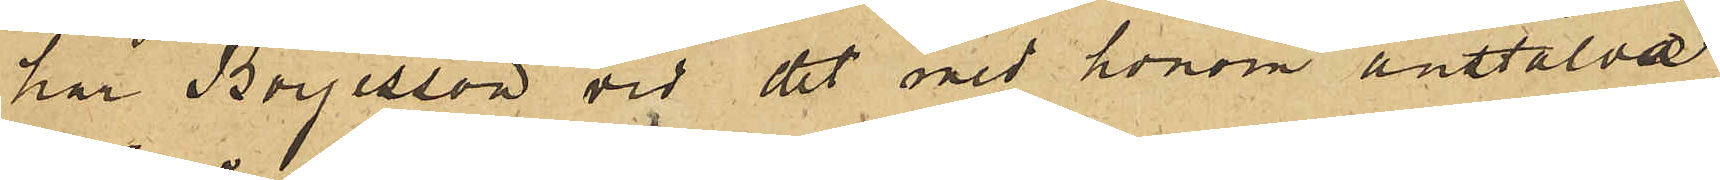har Börjesson vid det med honom anstälde
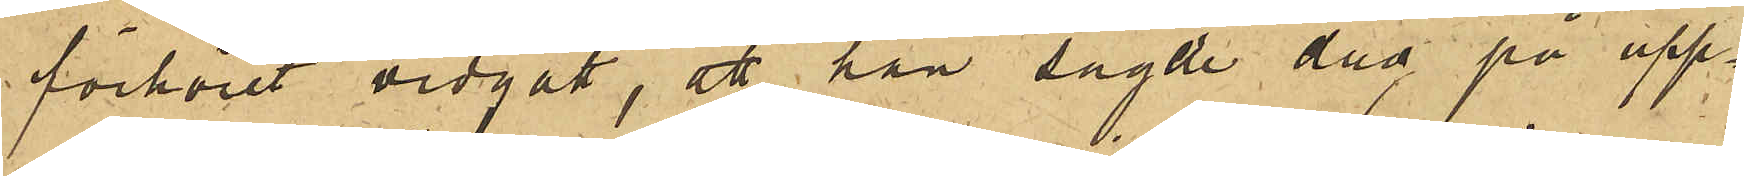förhöret vidgått, att han sagde dag på upp¬
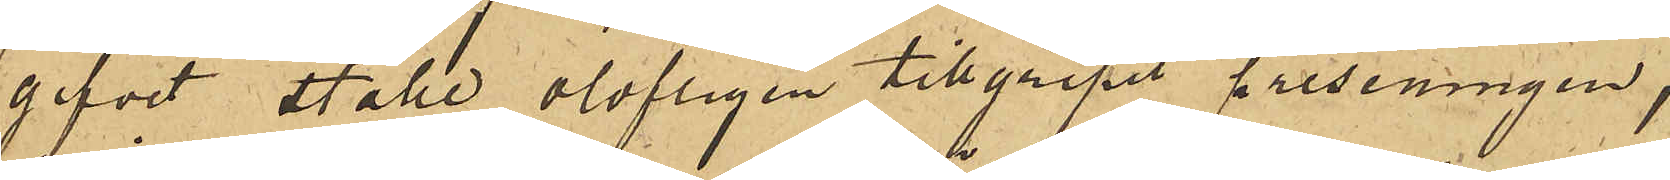gifvet ställe olofligen tillgripit presenningen,
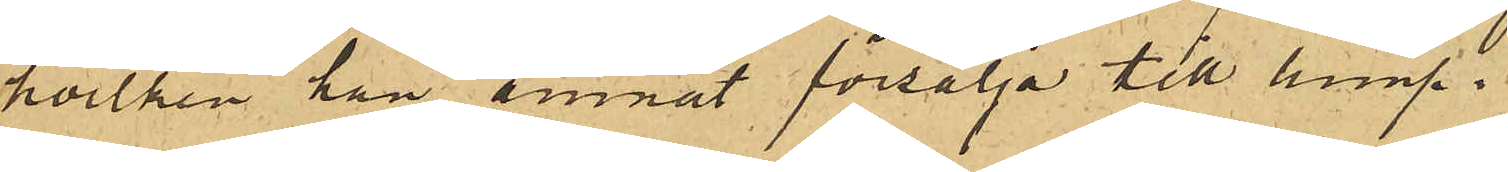hvilken han ämnat försälja till lump.
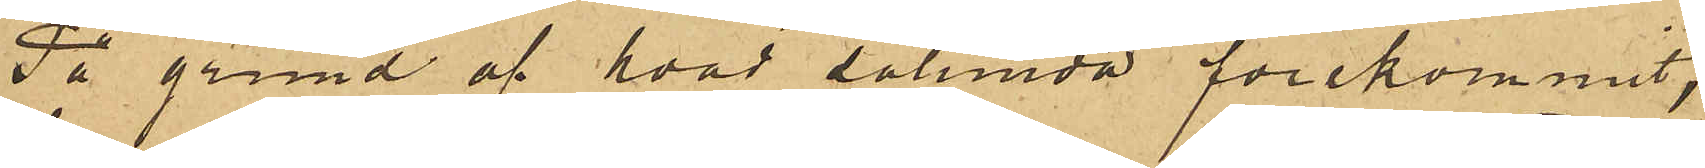På grund af hvad sålunda förekommit,
